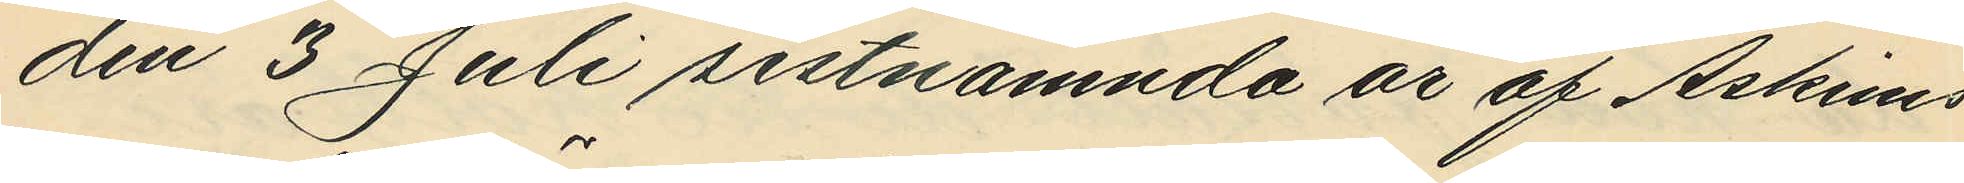den 3 Juli sistnämnda år af Askims
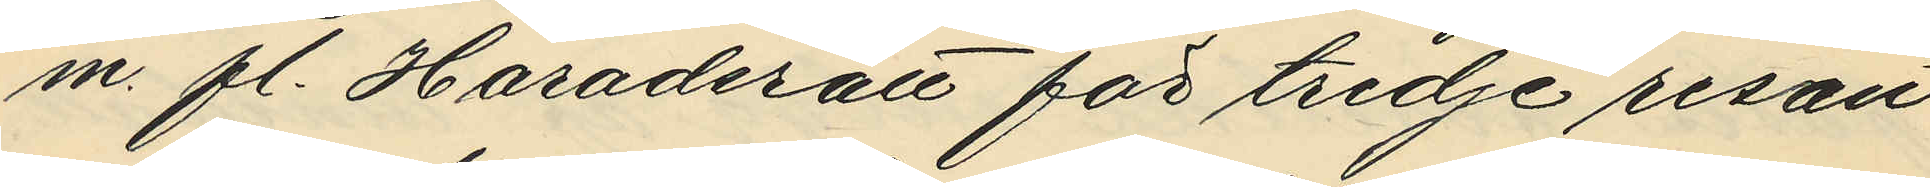m. fl. Häradsrätt för tredje resan
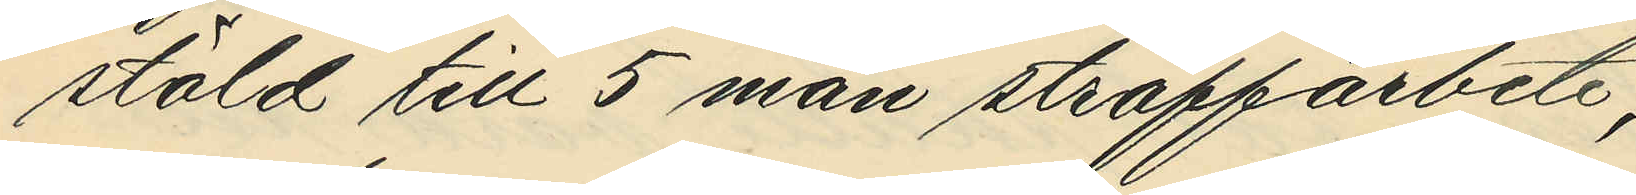stöld till 5 mån straffarbete;
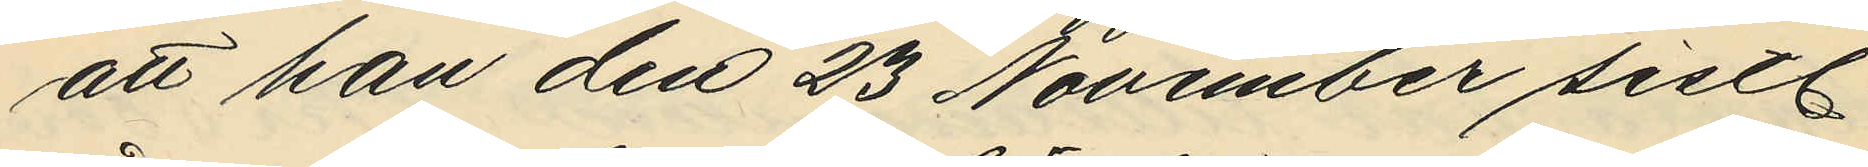att han den 23 November sistl.
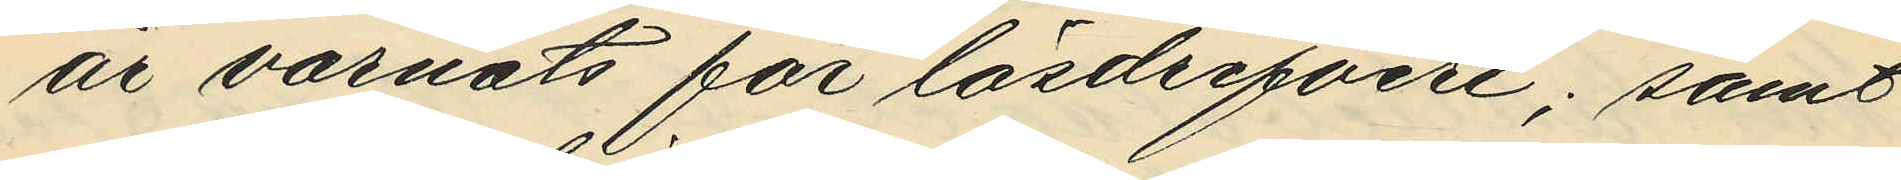år varnats för lösdrifveri; samt
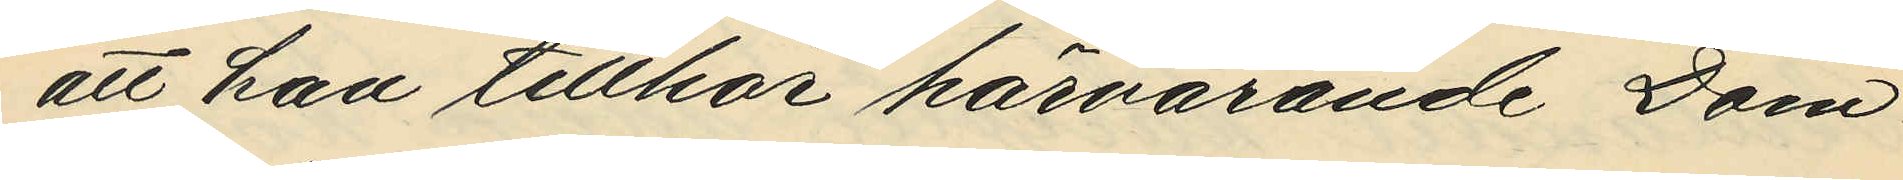att han tillhör härvarande Dom¬
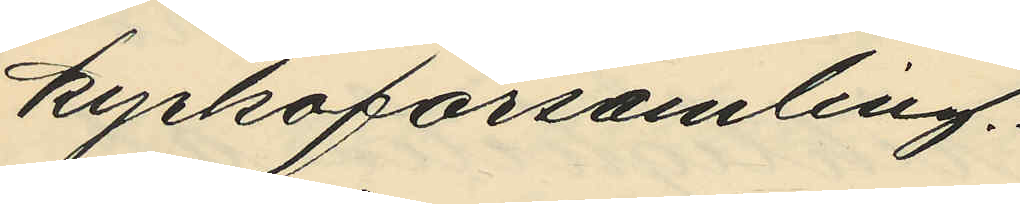kyrkoförsamling.
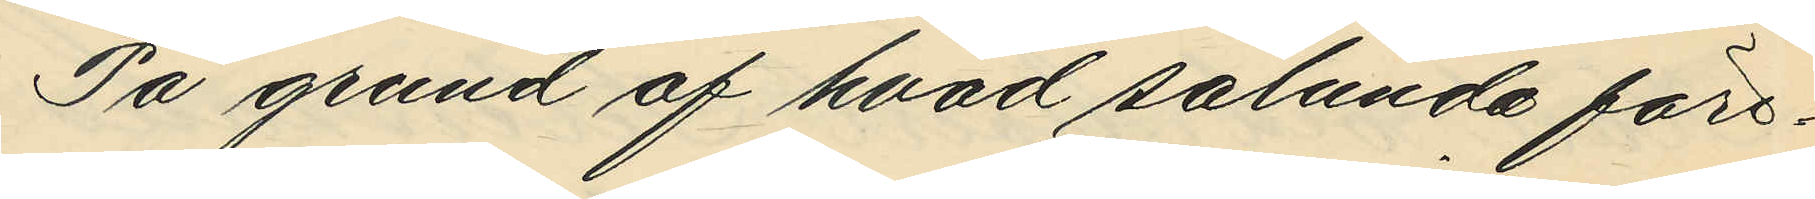På grund af hvad sålunda före¬
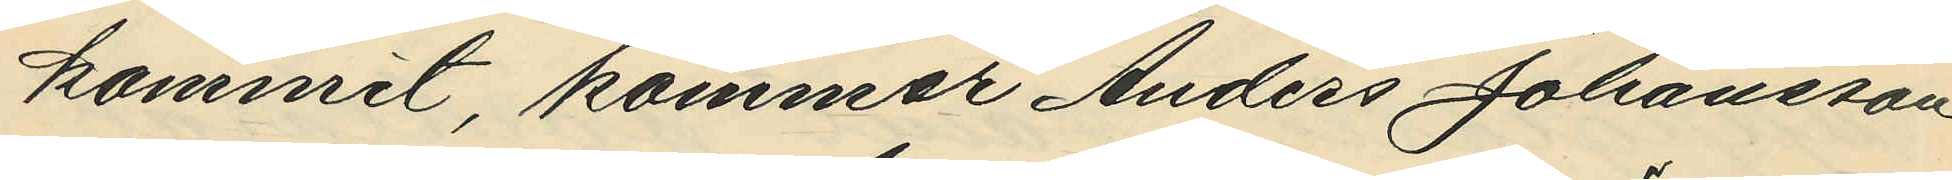kommit, kommer Anders Johansson
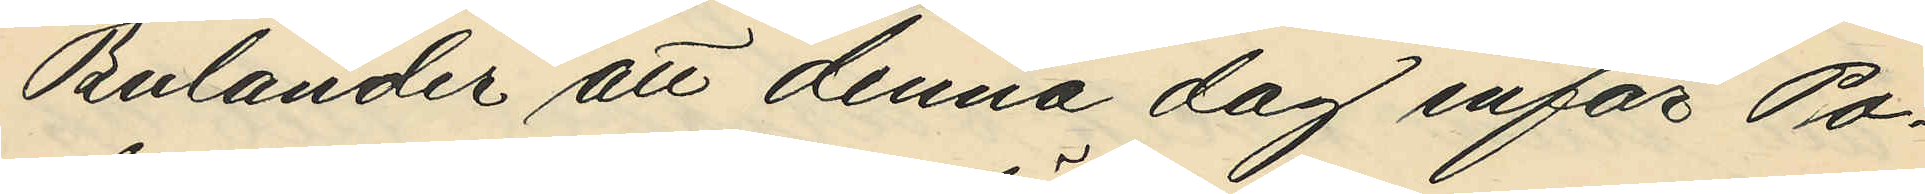Bulander att denna dag inför Po¬
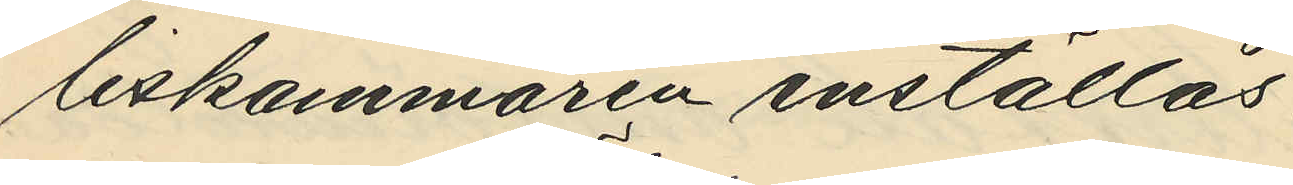liskammaren inställas.
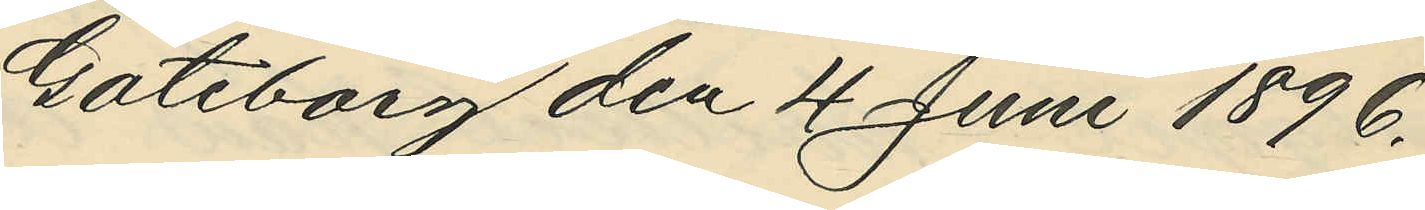Göteborg den 4 Juni 1896.
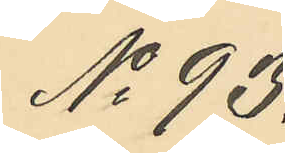No 93.
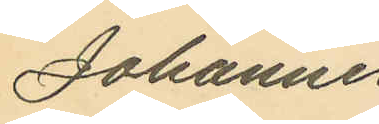Johannes
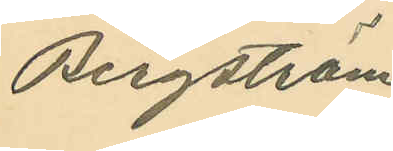Bergström
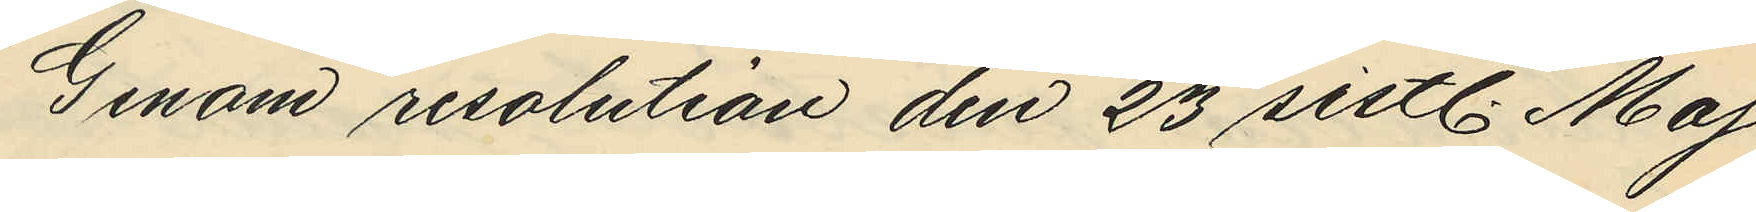Genom resolution den 23 sistl. Maj
